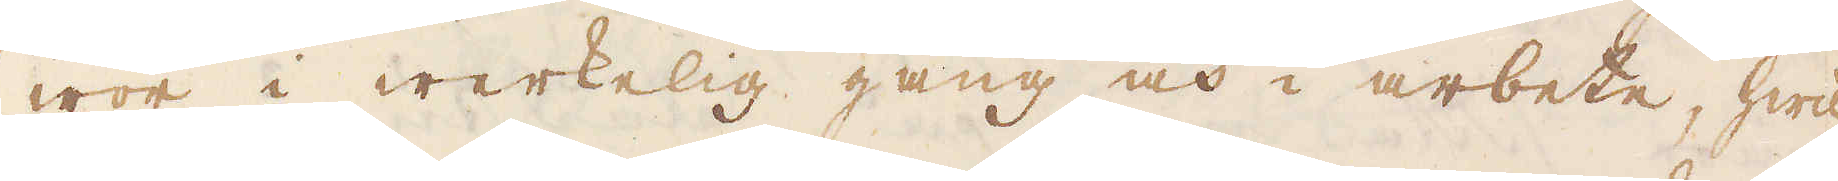wor i werkelig gång och i arbete, hwil-
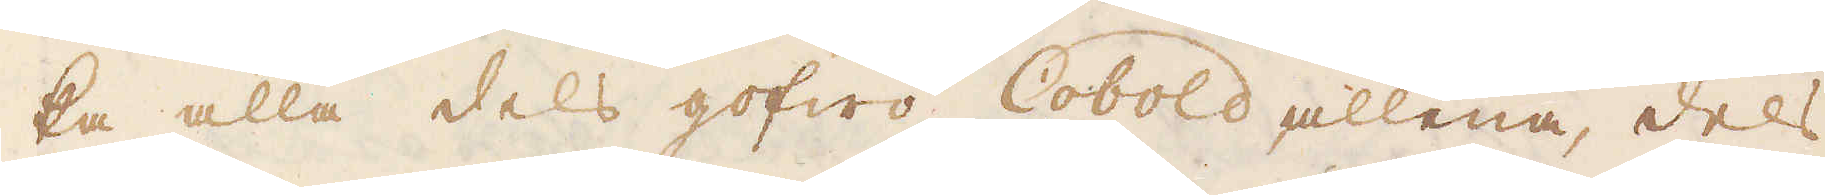ka alla dels gofwo Cobold allena, dels
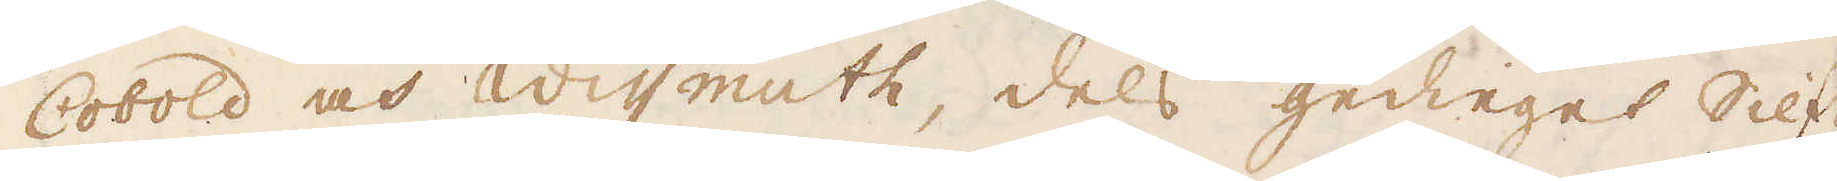Cobold och Wissmuth, dels gedieget Silf-
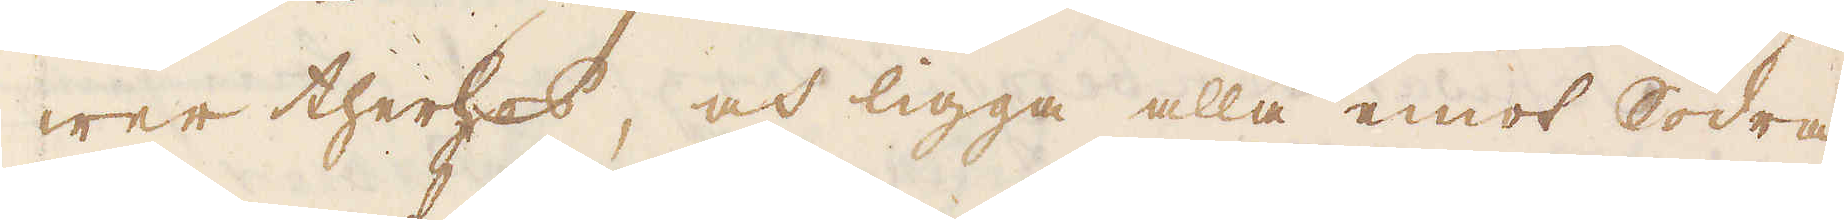wer therhes, och ligga alla emot Södra
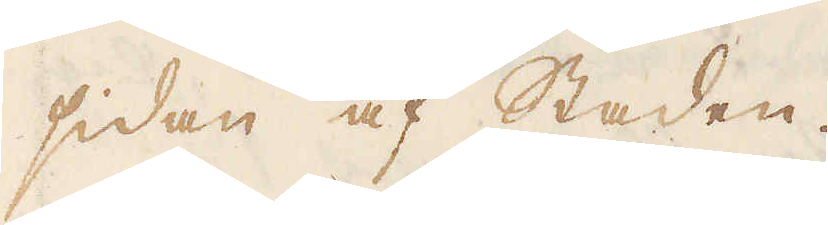sidan af Staden.
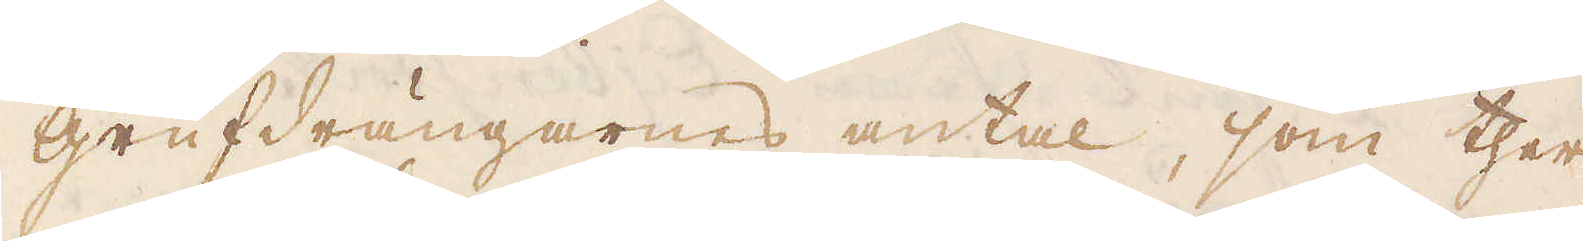Grufdrängarnes antal, som ther-
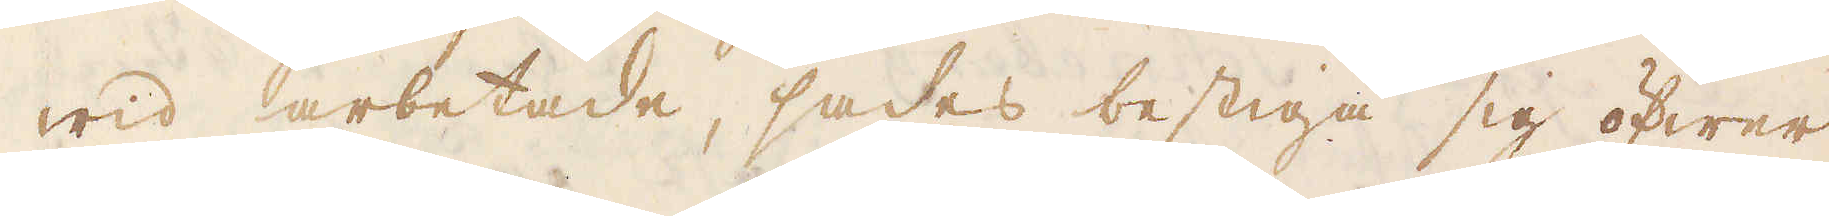wid arbetade, sades bestiga sig öfwer
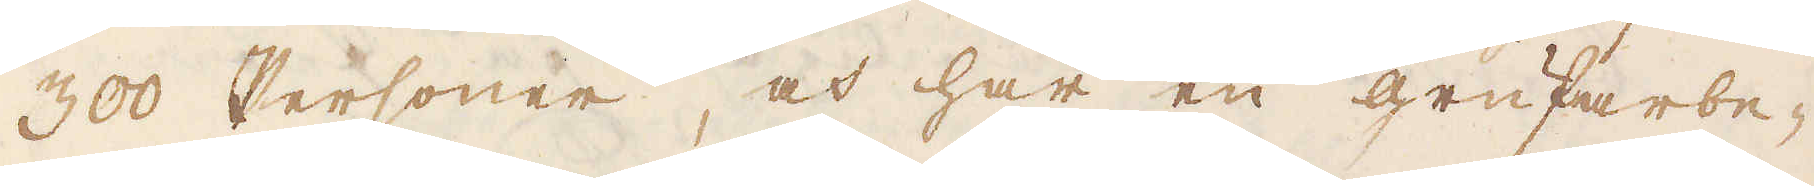300 Personer, och har en grufarbe-
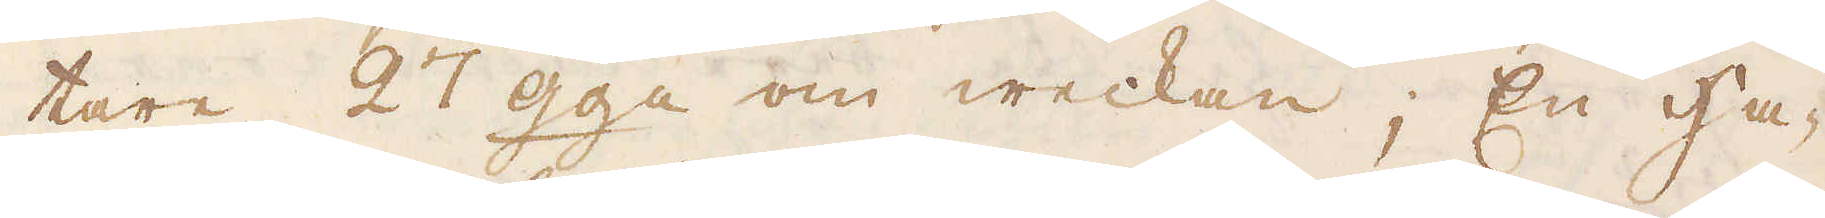tare 27 gga om weckan; En Ha-
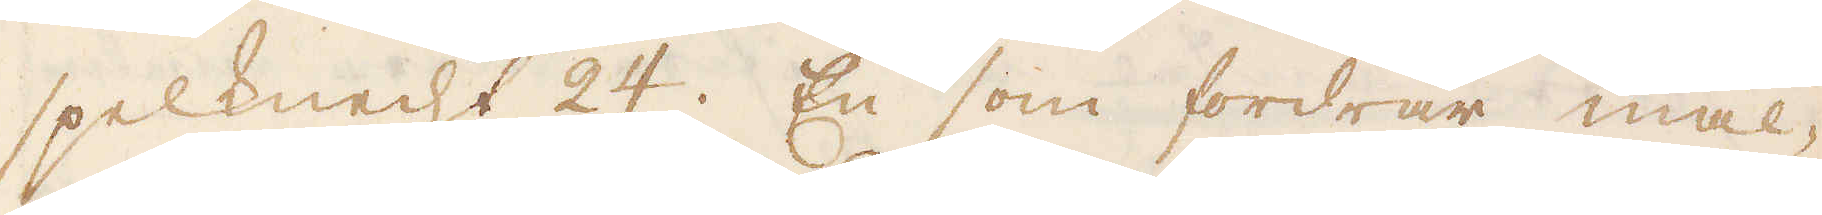spelknecht 24. En som fordrar mal-
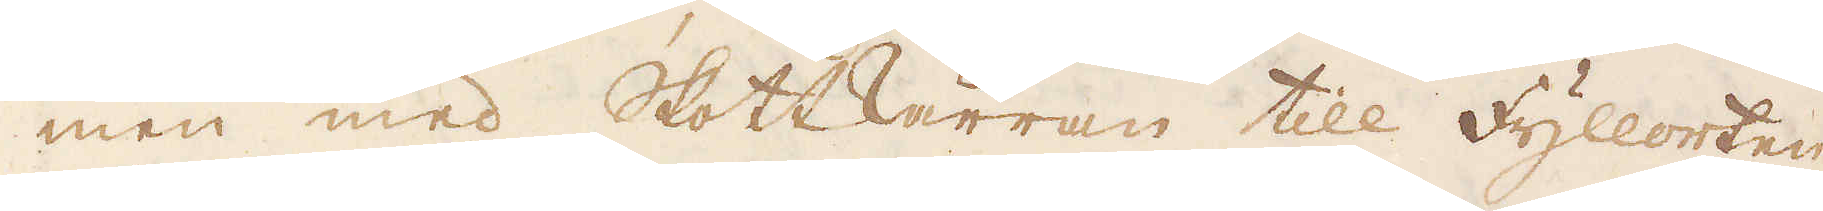men med Skottkärran till fyllorten
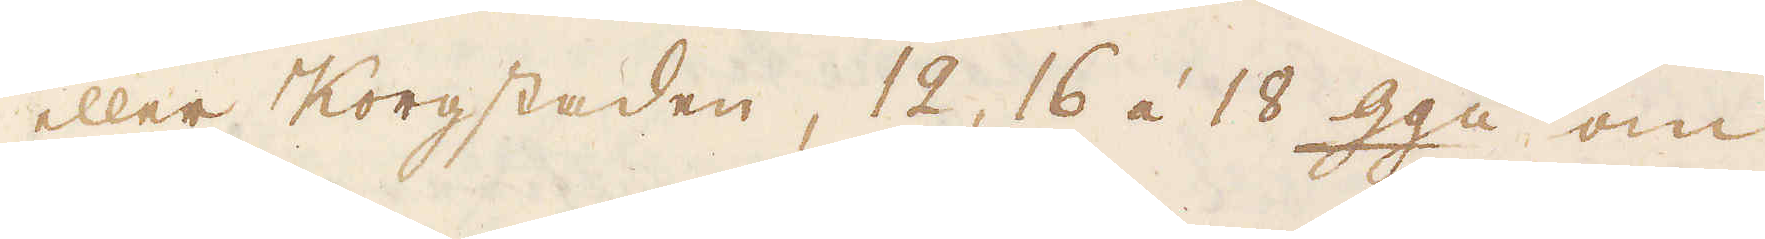eller Korgstaden, 12, 16 á 18 gga om
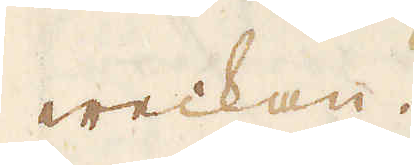weckan.
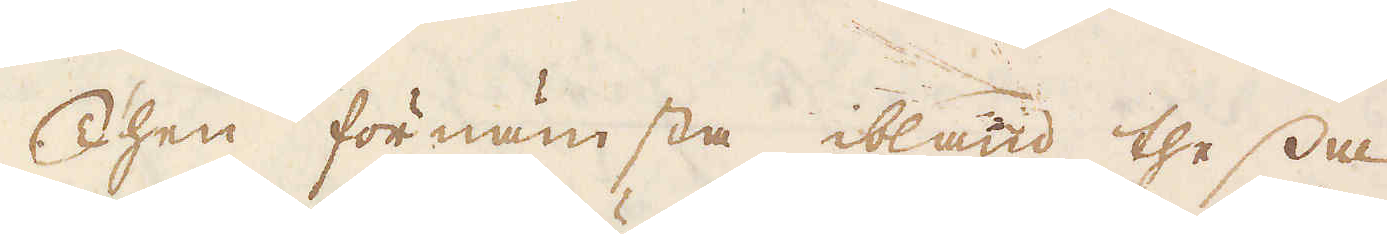Then förnämsta ibland thessa
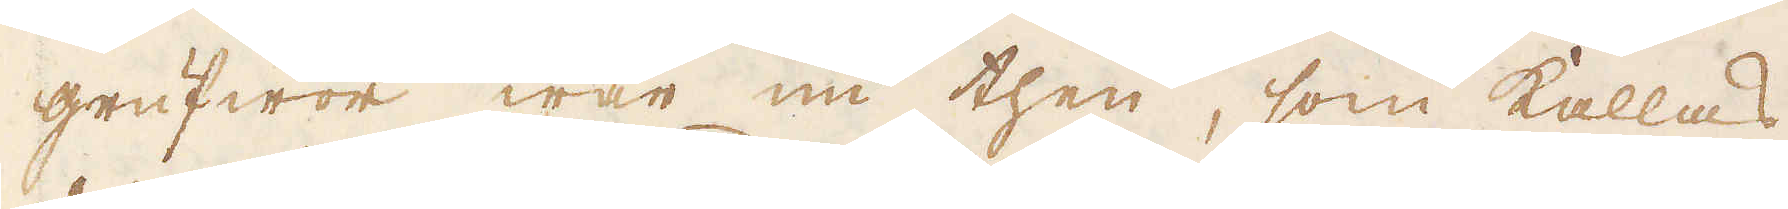grufwor war nu then, som kallas
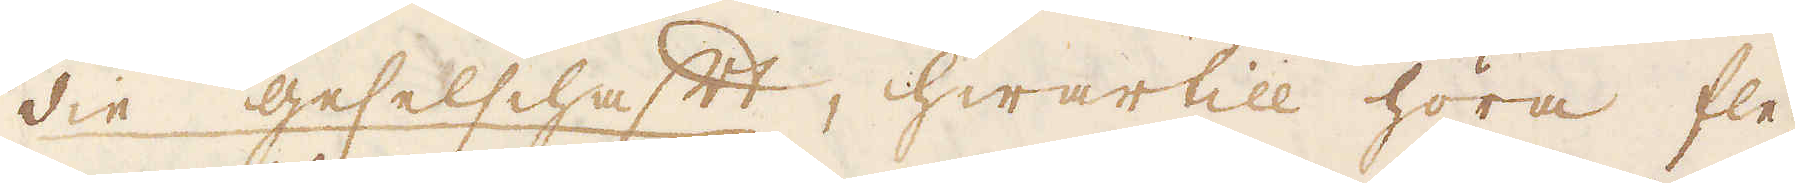die geselschaft, hwartill höra fle-
